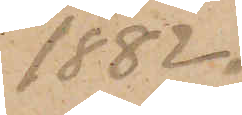1882.
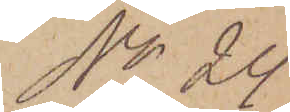No 24.
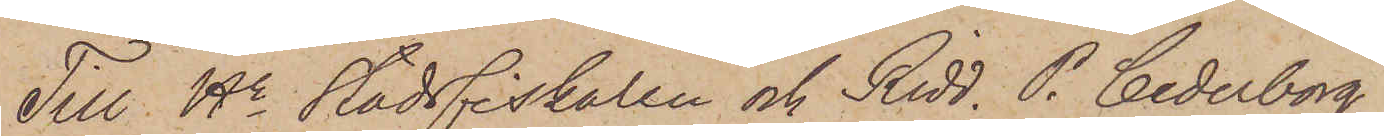Till Hr Stadsfiskalen och Ridd. P. Cederborg
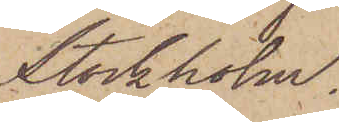Stockholm.
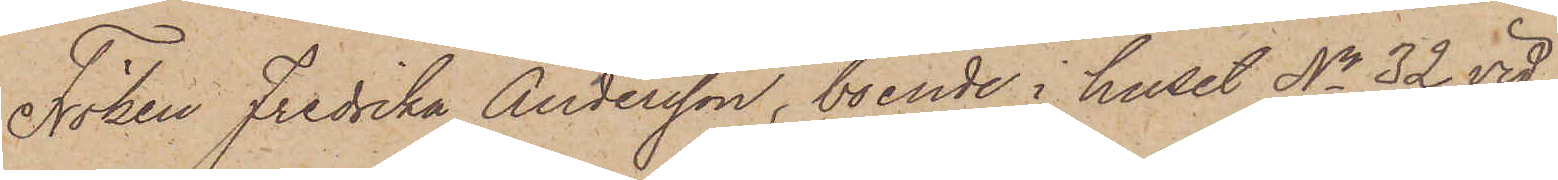Föken Fredrika Andersson, boende i huset No 32 vid
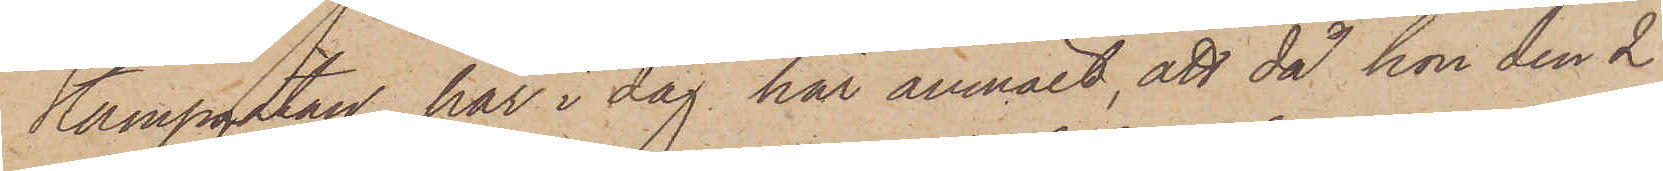Kampgatan, har i dag här anmält, att då hon den 2
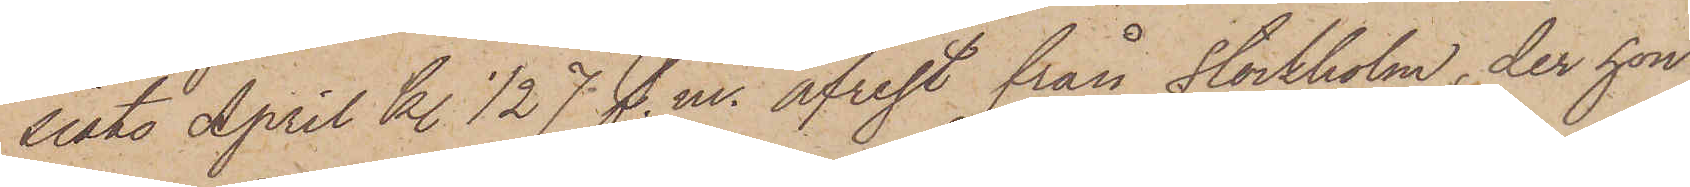sist. April kl. 1/2 7 f. m. afrest från Stockholm, der hon
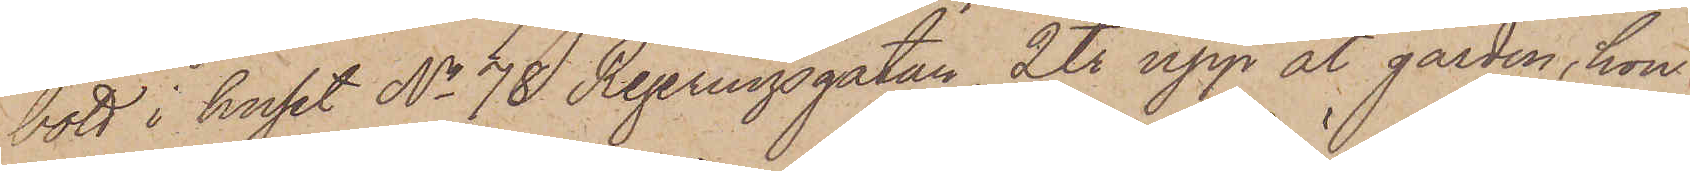bott i huset No 78 Regeringsgatan, 2 tr upp åt gården, hon
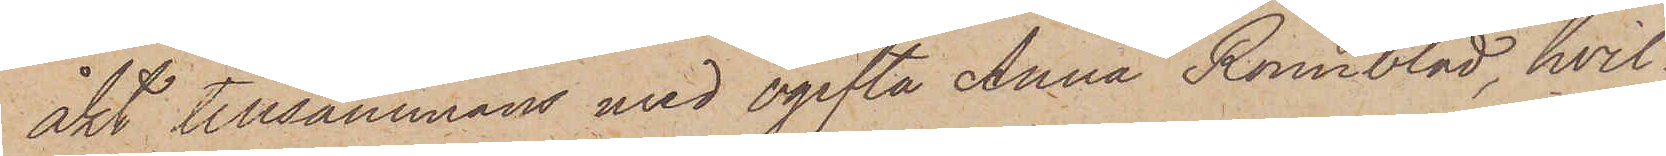åkt tillsammans med ogifta Anna Rönnblad, hvil¬
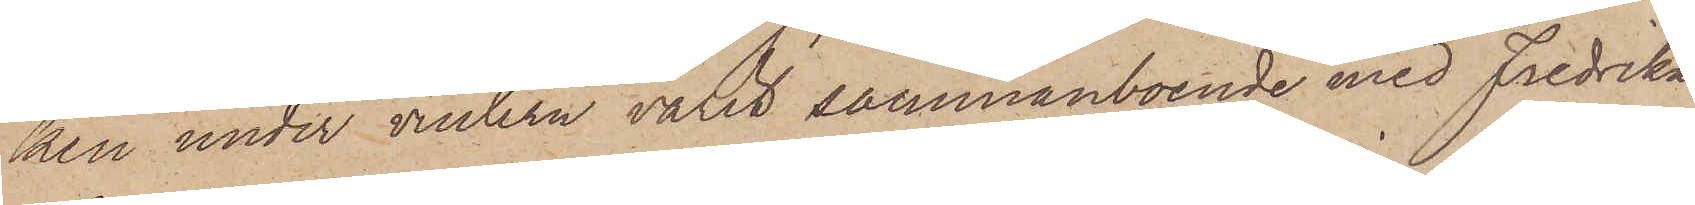ken under vintern varit sammanboende med Fredrika
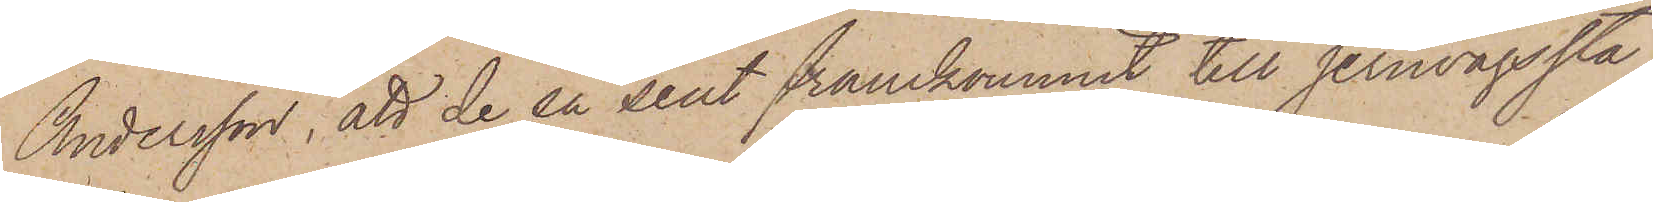Andersson, att de så sent framkommit till jernvägssta¬
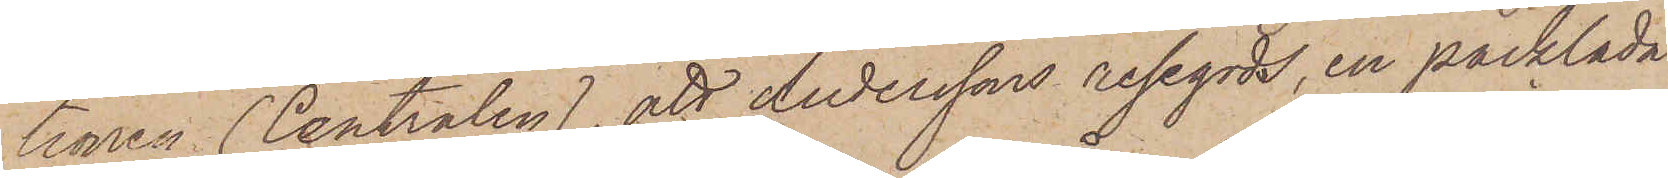tionen (Centralen), att Anderssons resegods, en packlåda
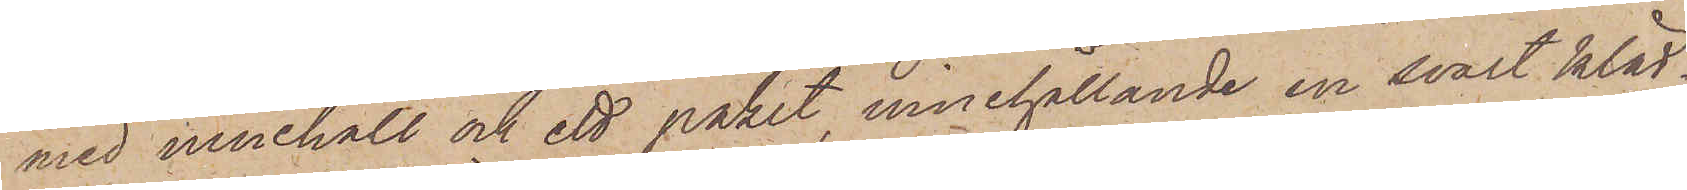med innehåll och ett paket, innehållande en svart kläd¬
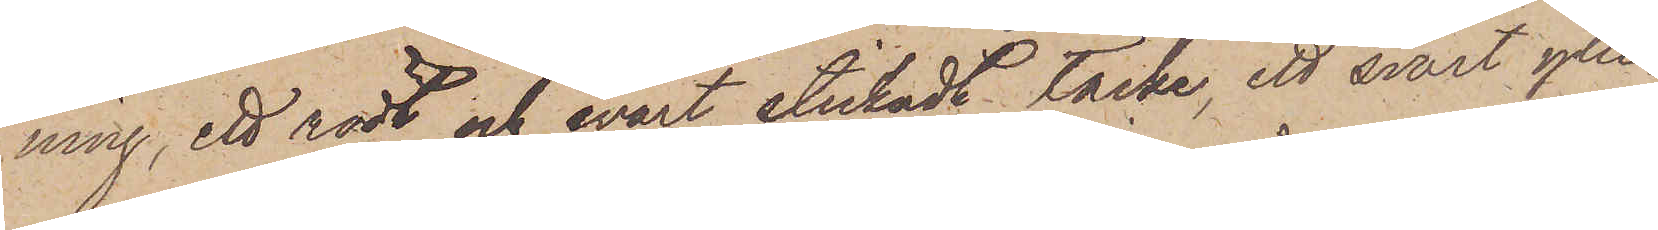ning, ett rödt och svart stickadt täcke, ett svart ylle¬
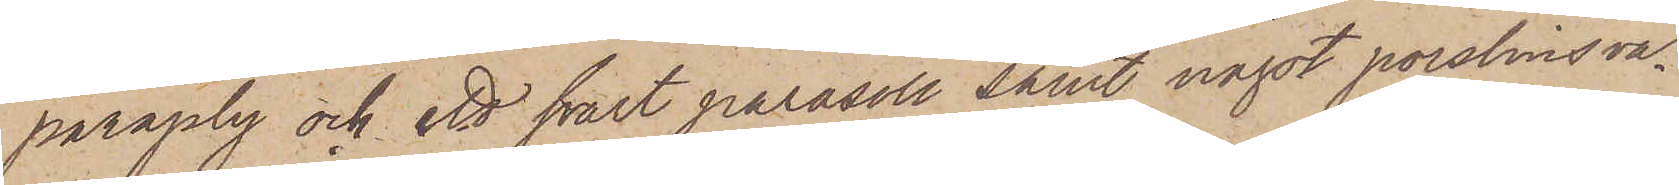paraply och ett svart parasoll samt något porslinsva¬
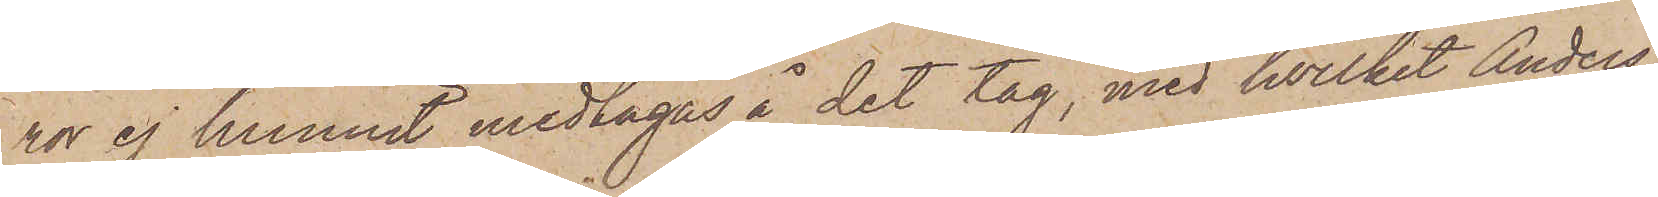ror ej hunnit medtagas å det tåg, med hvilket Anders¬
